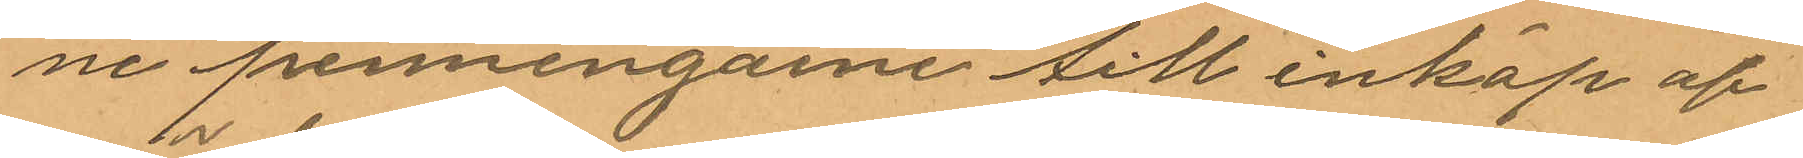ne penningarne till inköp af
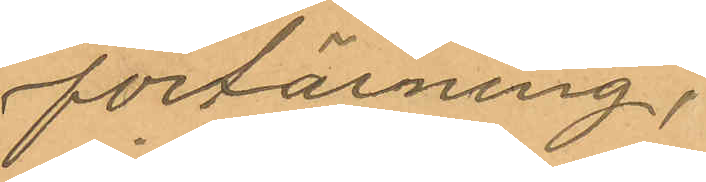förtärning.
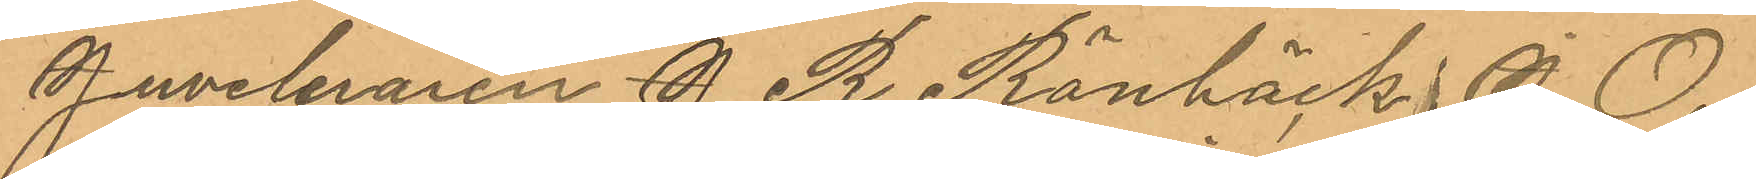Juveleraren J. R. Rönbäck,  J. O.
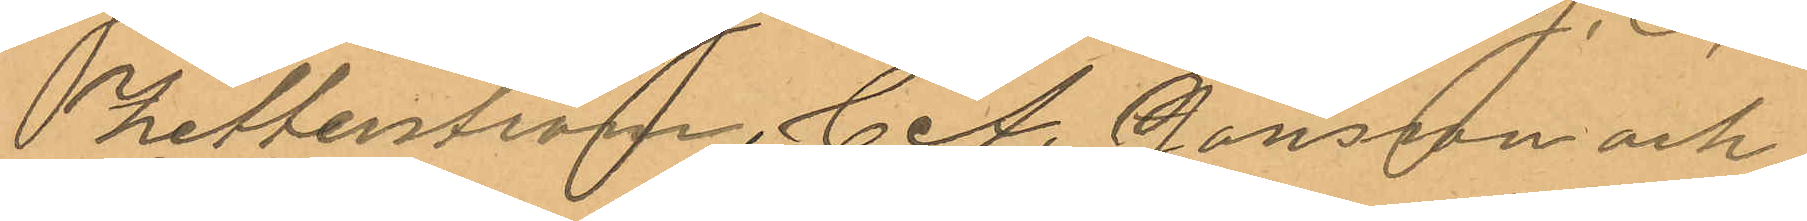Zetterström, C.A. Jansson och
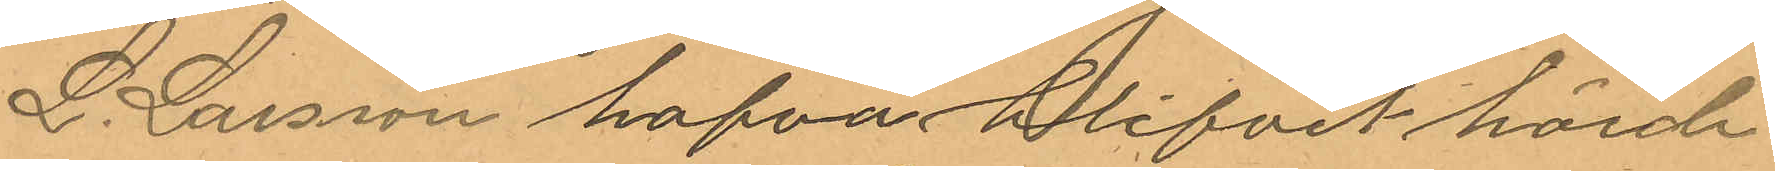L. Larsson hafva blifvit hörde
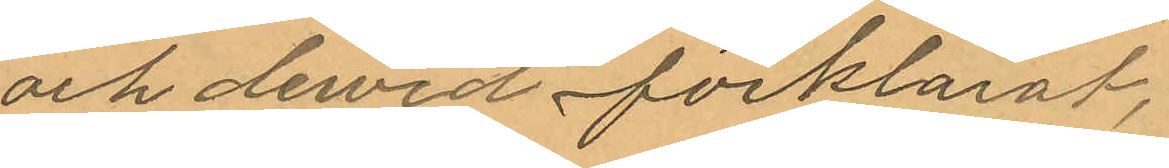och dervid förklarat,
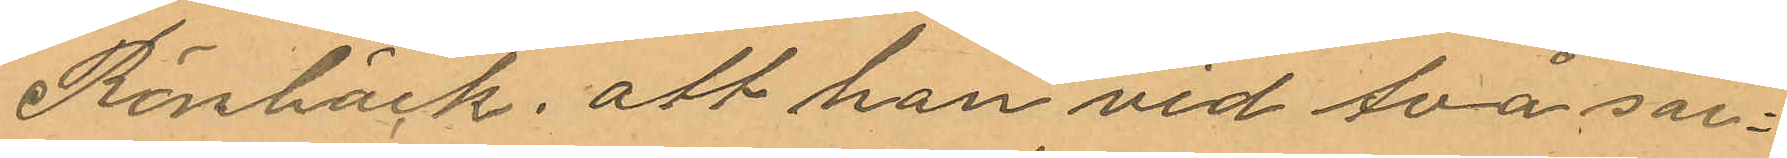Rönbäck, att han vid två sär¬
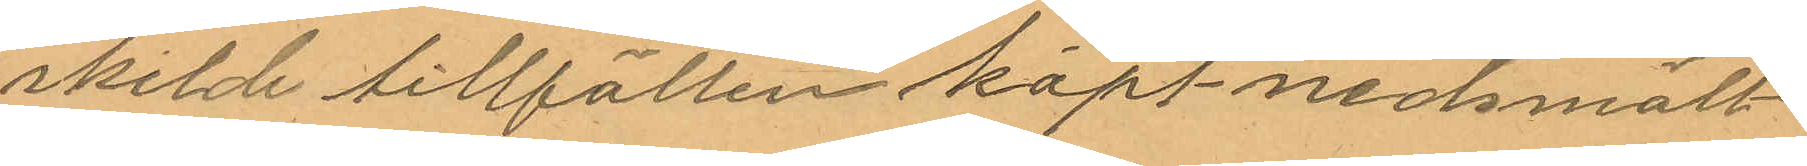skilde tillfällen köpt nedsmält
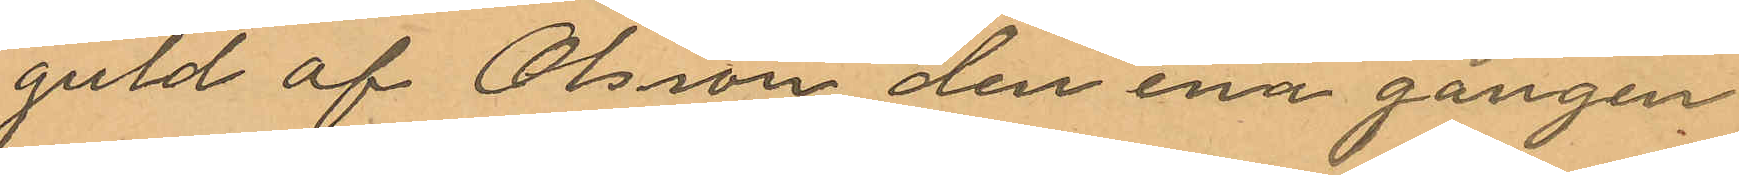guld af Olsson den ena gången
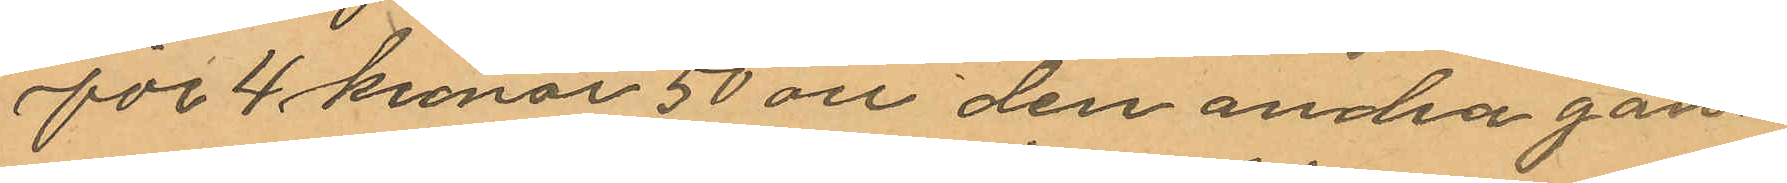för 4 kronor 50 öre den andra gån¬
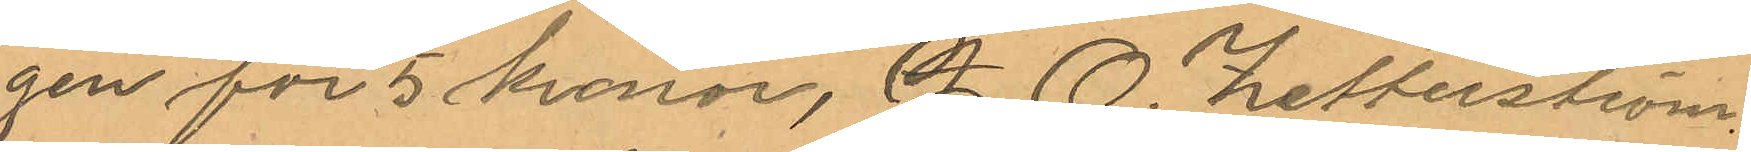gen för 5 kronor, A. O. Zetterström
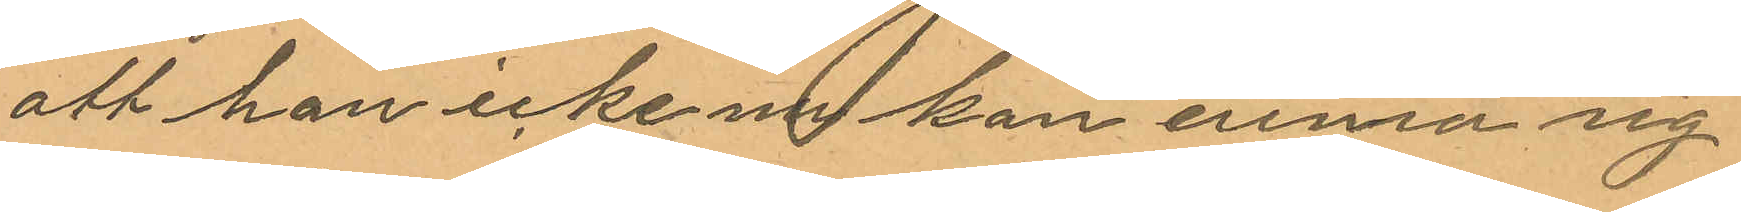att han icke nu kan erinra sig
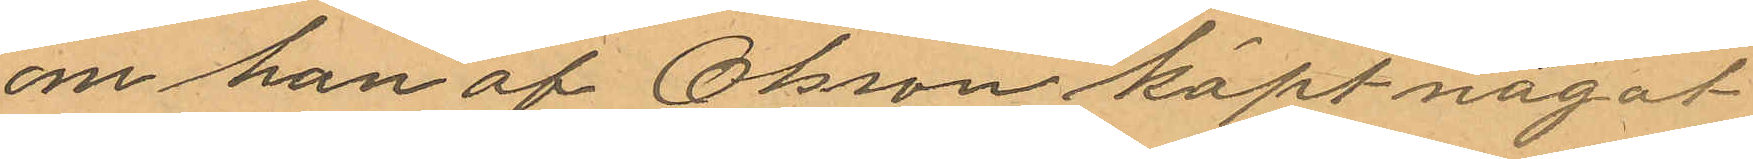om han af Olsson köpt något
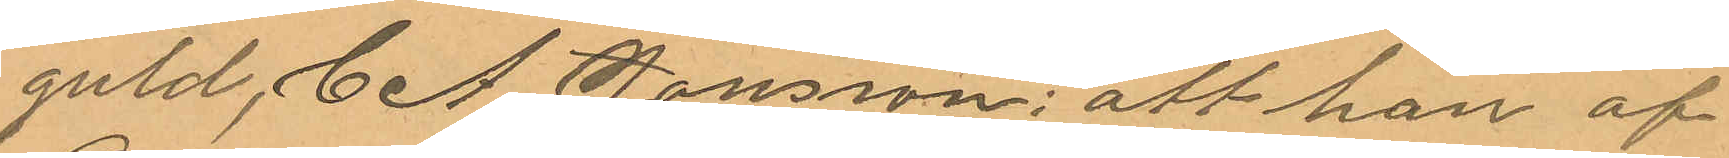guld, C A Jansson: att han af
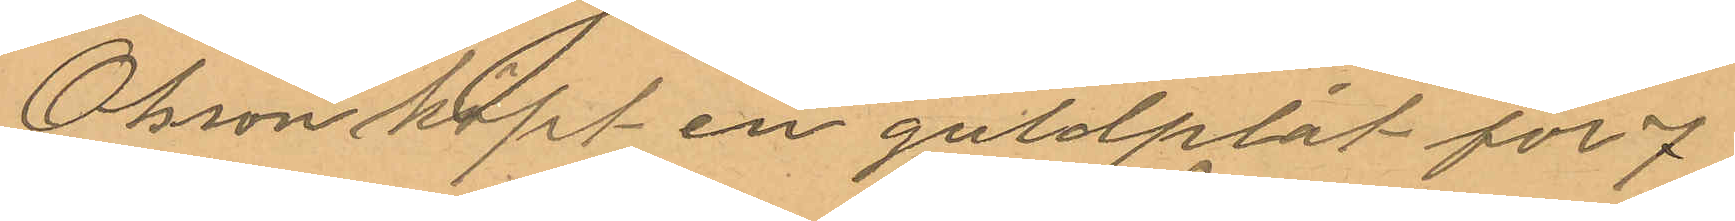Olsson köpt en guldplåt för 7
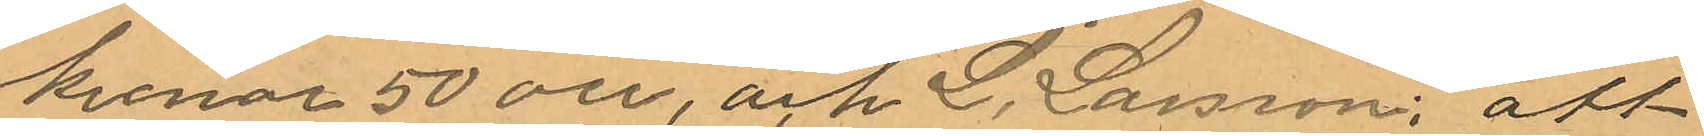kronor 50 öre, och L. Larsson: att
